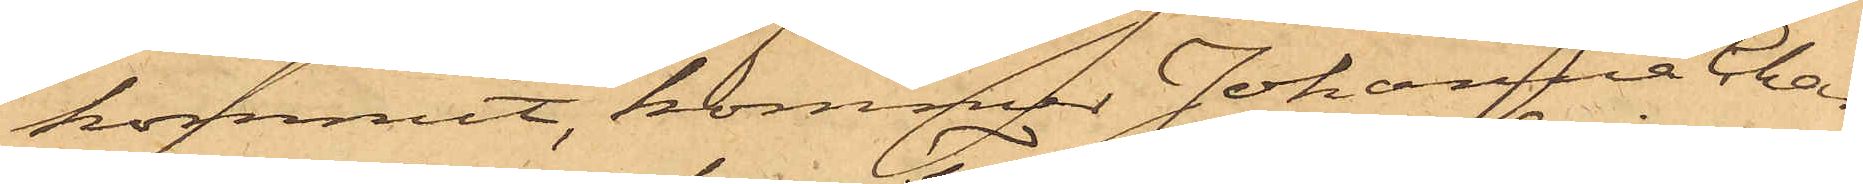kommit, kommer Johanna Char¬
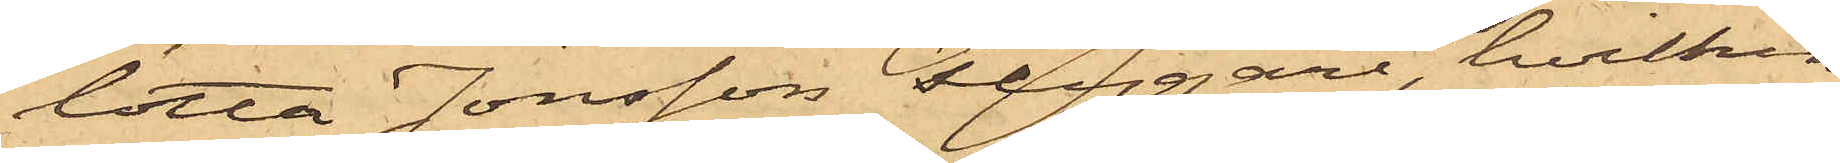lotta Jonsson Flygare, hvilken
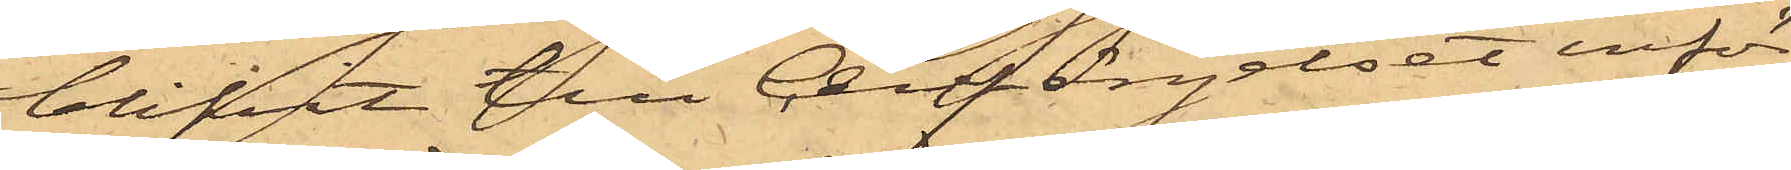blifvit till Cellfängelset inför¬
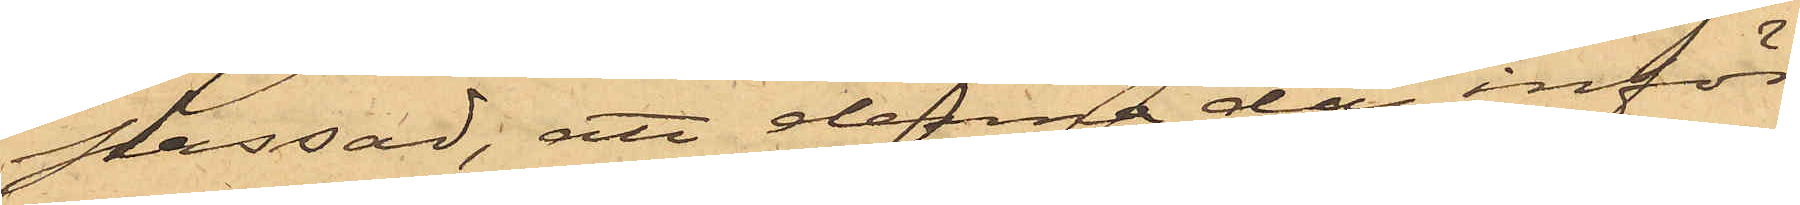passad, att denna dag inför
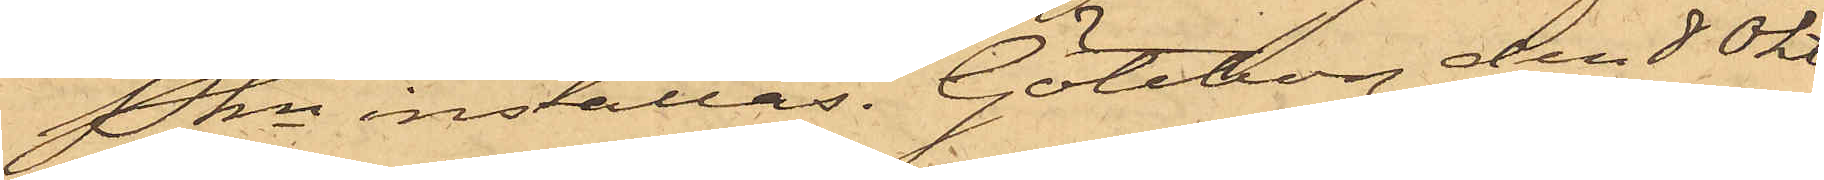Pkn inställas. Göteborg den 8 Okt.
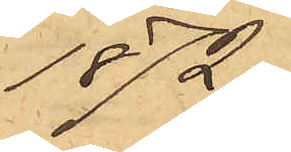1872.
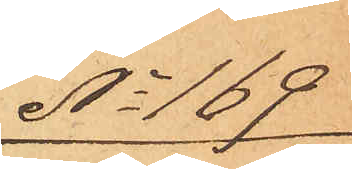No 169
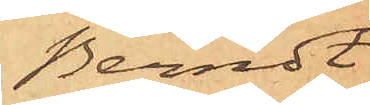Berndt
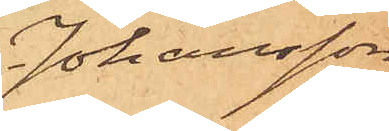Johansson.
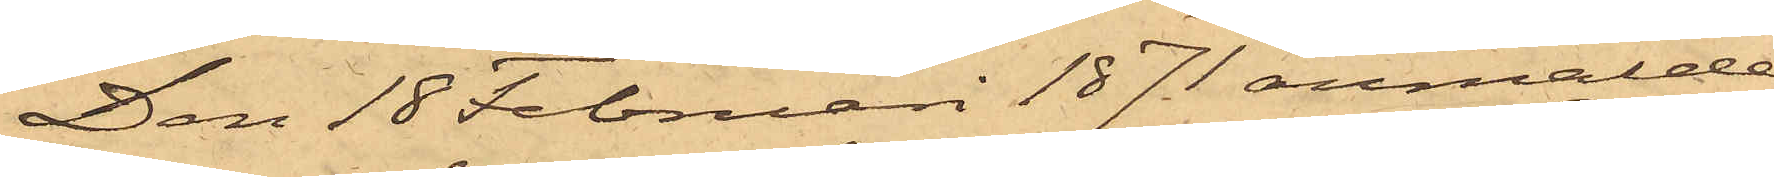Den 18 Februari 1871 anmälde
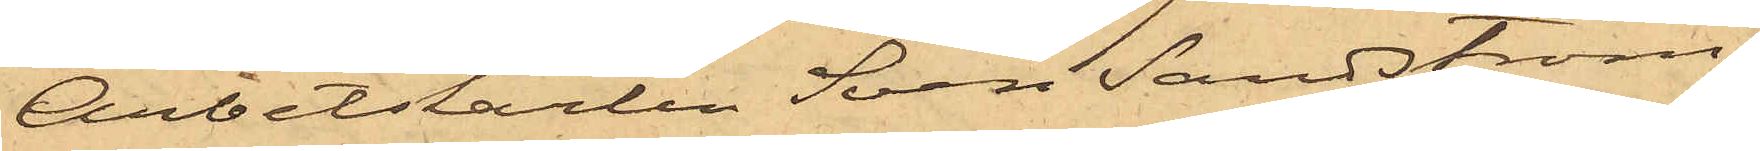Arbetskarlen Sven Sandström,
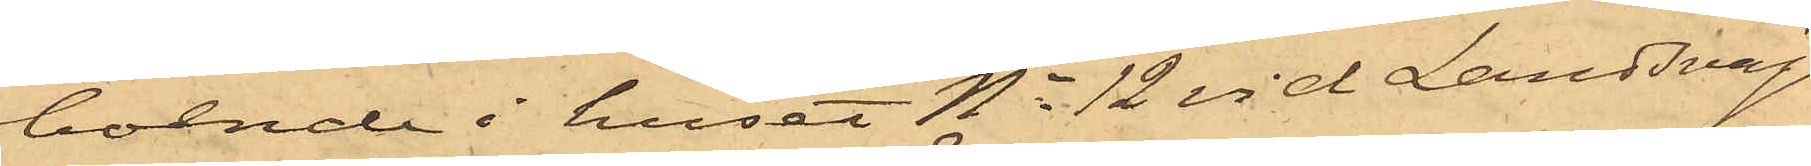boende i huset No 12 vid Landsvägs¬
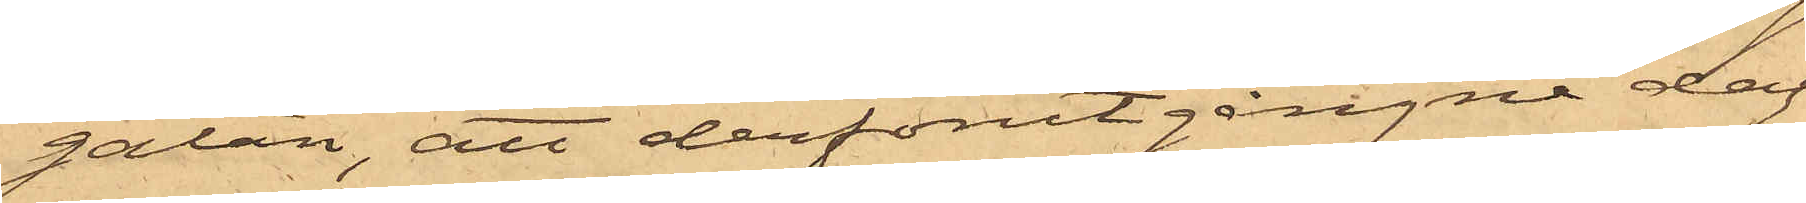gatan, att derförutgångne dag
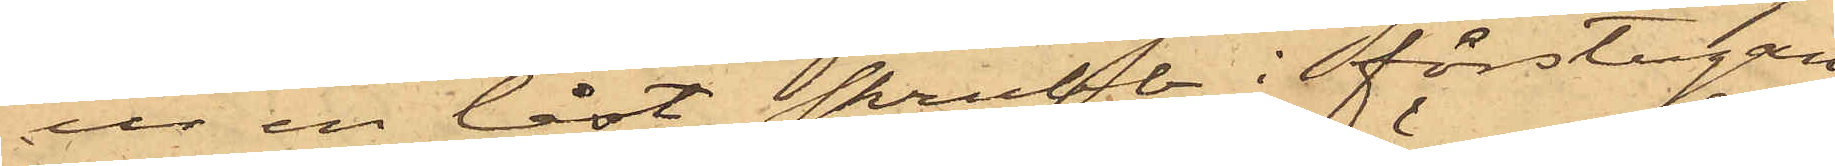ur en låst skrubb i förstugan
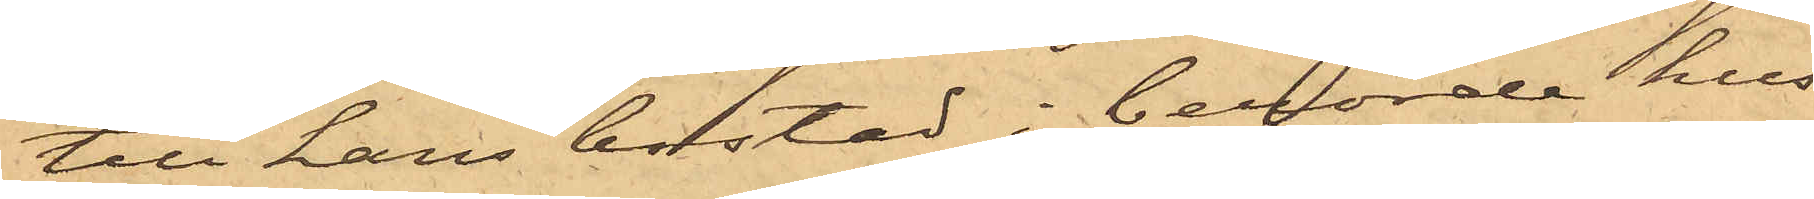till hans bostad i berörde hus
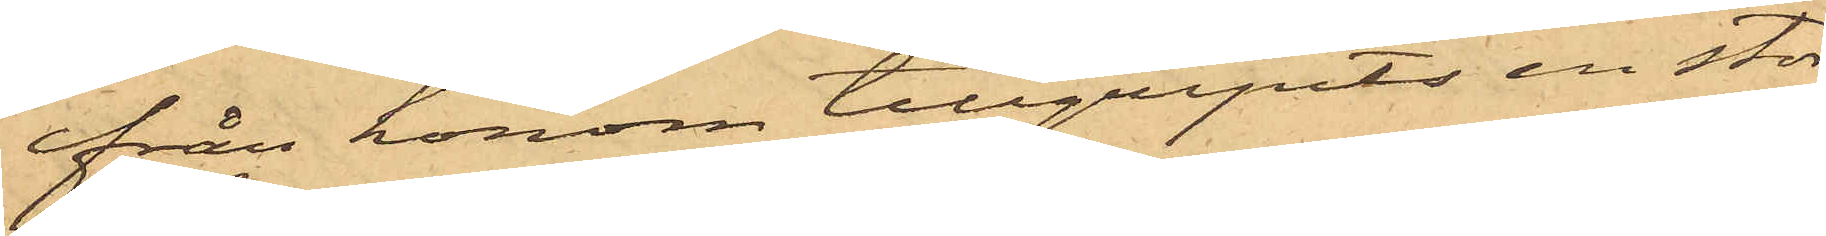från honom tillgripits en stor¬
